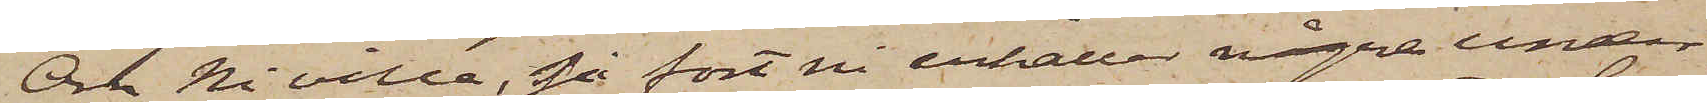Om Ni ville, så fort ni erhåller några under¬
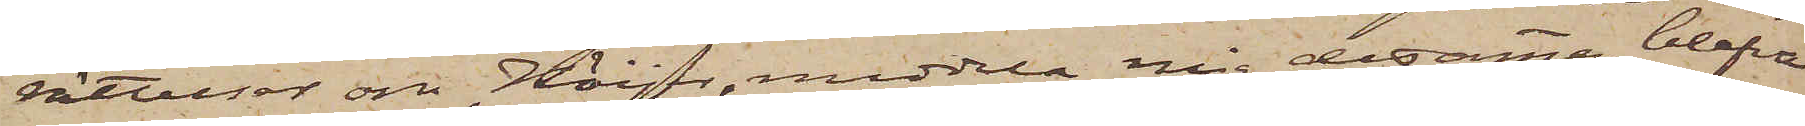rättelser om Höijer, meddela mig desamma blefve
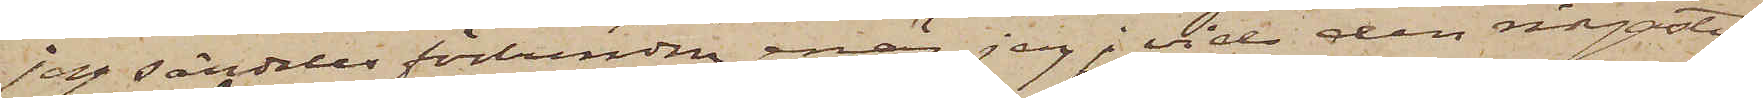jag särdeles förbunden, enär jag; vid den ringaste
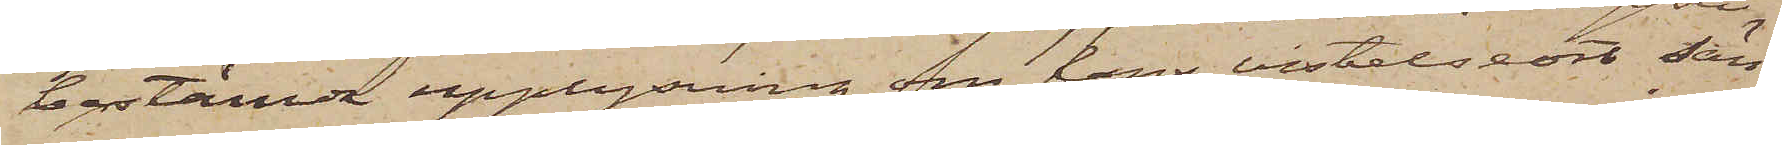bestämda upplysning om hans vistelseort sän¬
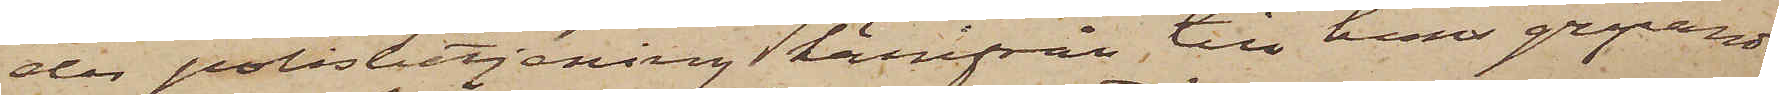der polisbetjening härifrån till hans gripande.
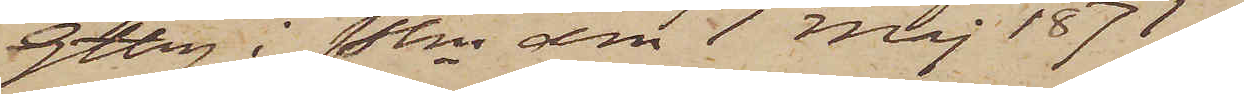Gtbrg i Pkn den 1 Maj 1871.
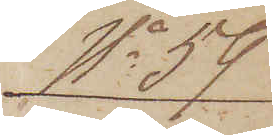No 59
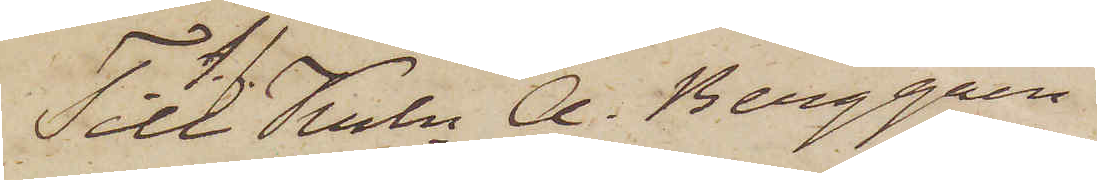Till Krln A. Berggren
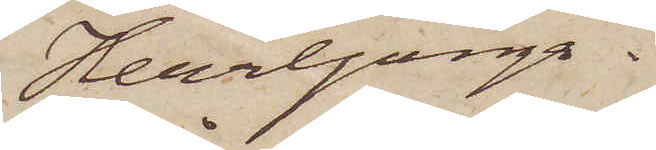Herrljunga.
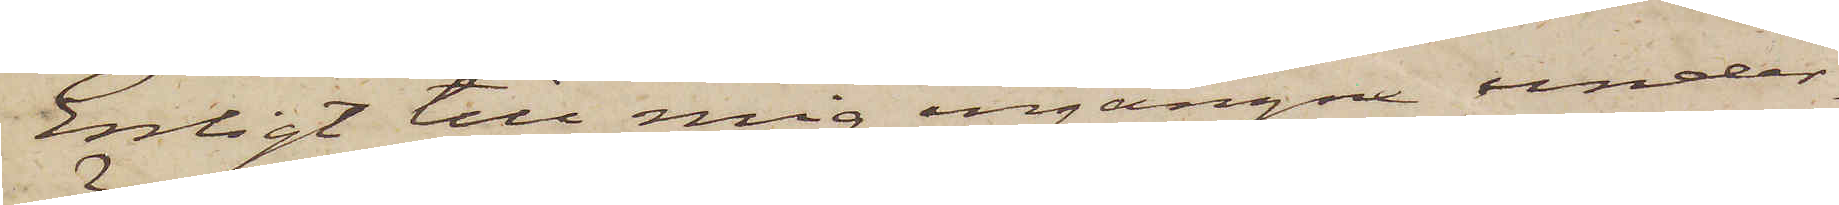Enligt till mig ingångne under¬
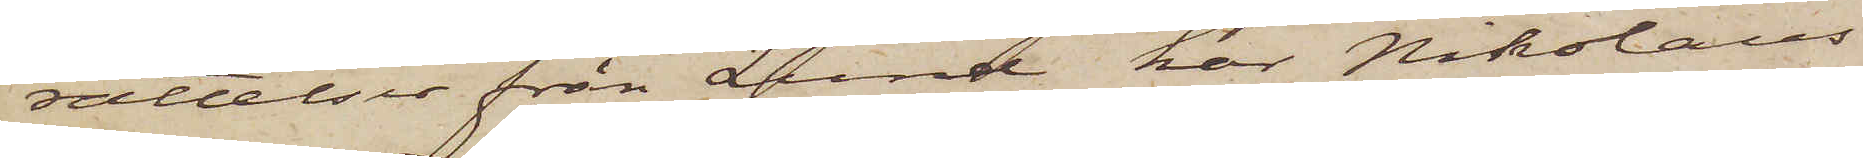rättelser från Lund har Nikolaus
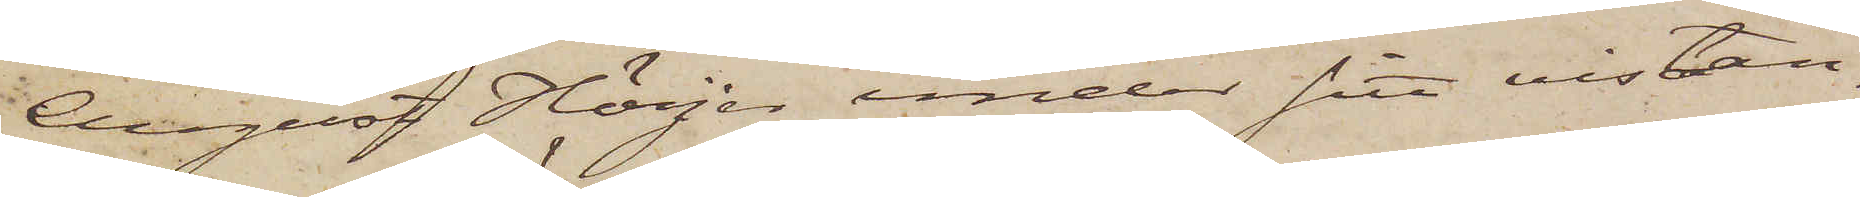August Höijer under sitt vistan¬
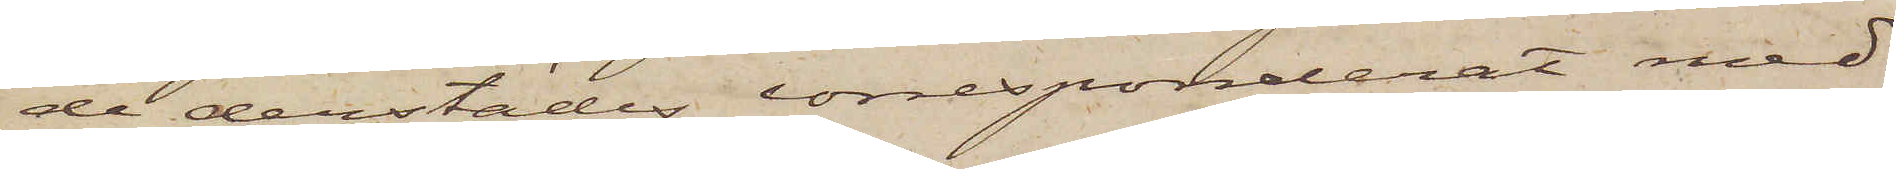de derstädes corresponderat med
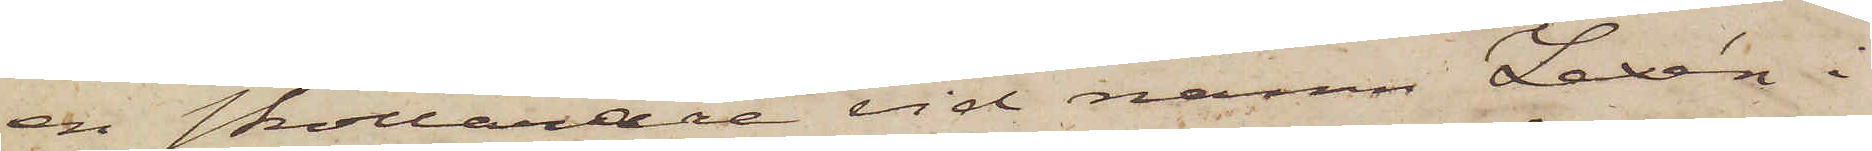en skollärare vid namn Lexén i
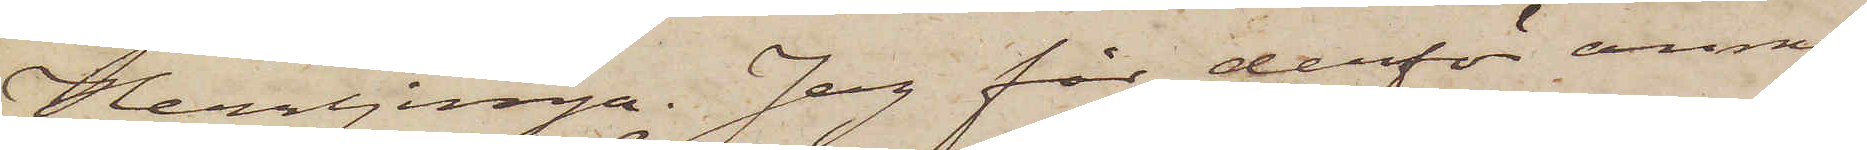Herrljunga. Jag får derför anmo¬
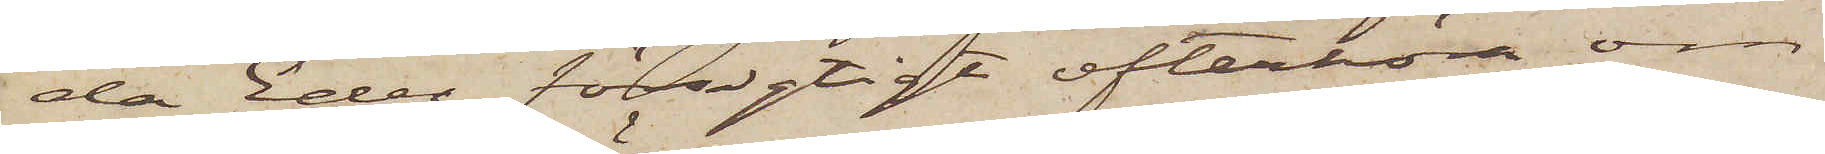da Eder försigtigt efterhöra om
